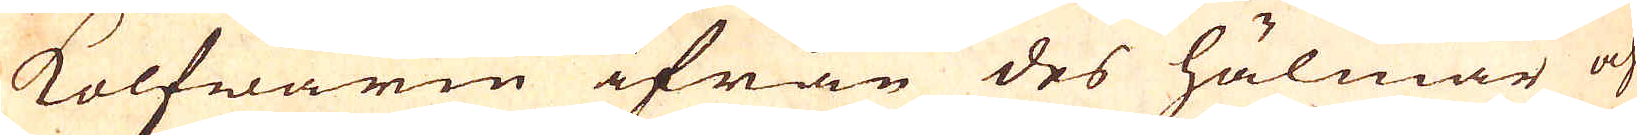kolfwaren ifrån des hälmar och
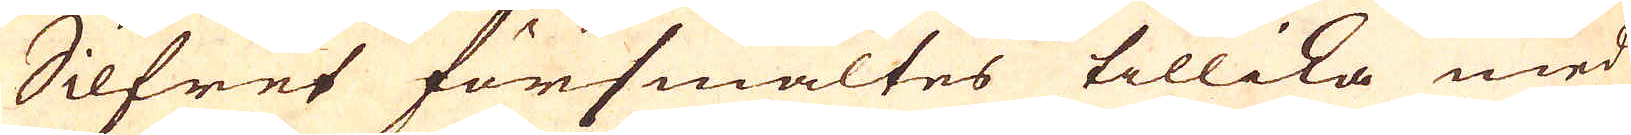Silfret försmältes tillika med
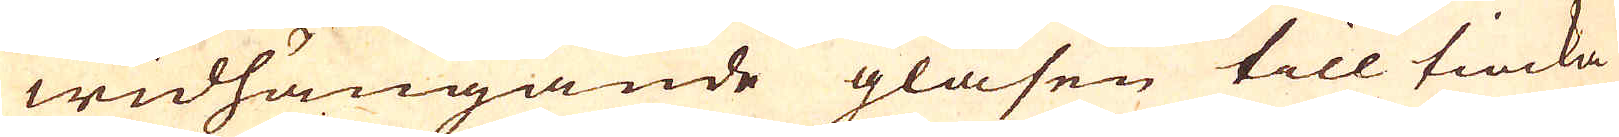widhängande glasen till tiocka
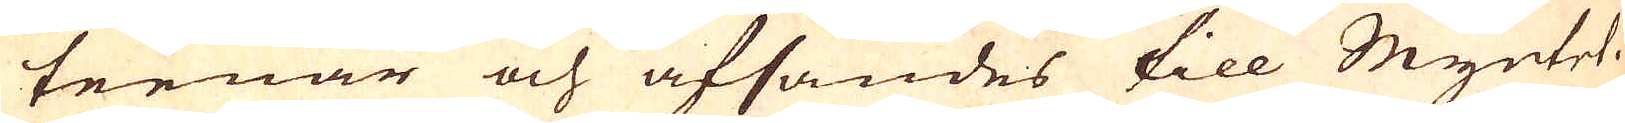teenar och afsändes till Myntet.
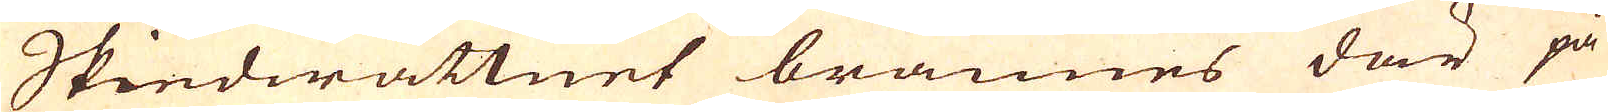Skiedwattnet brännes där på
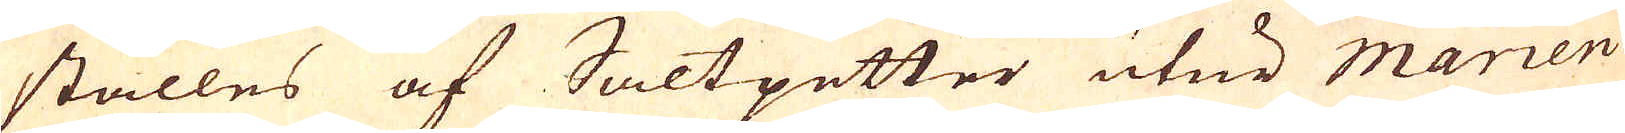ställes af Saltpetter utur Marien
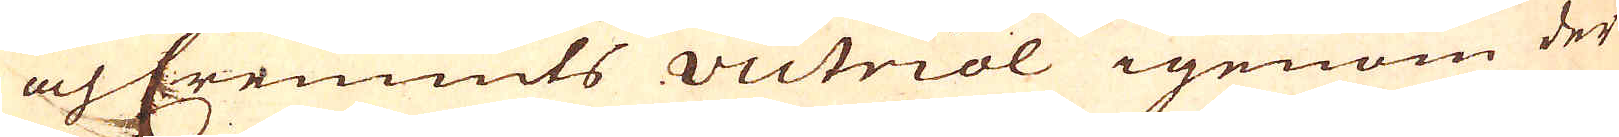och Cremnits victriol igenom der
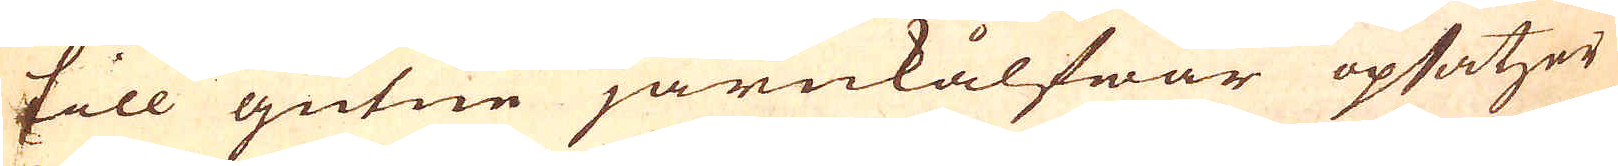till gutne järnkålfwar opsatzer
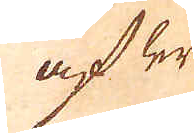af ler
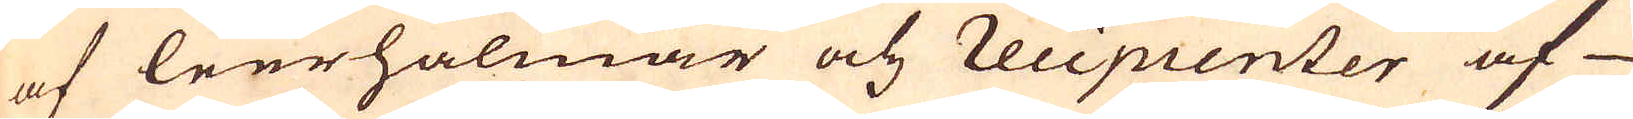af leerhålmar och recipienter af
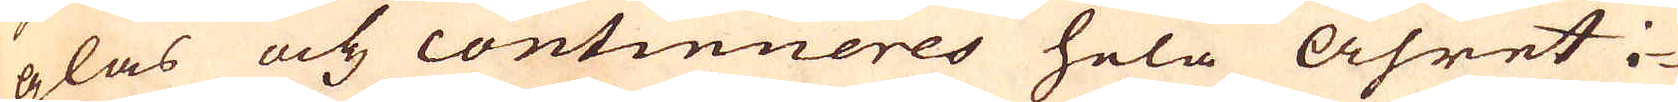glas och continueres hela åhret i-
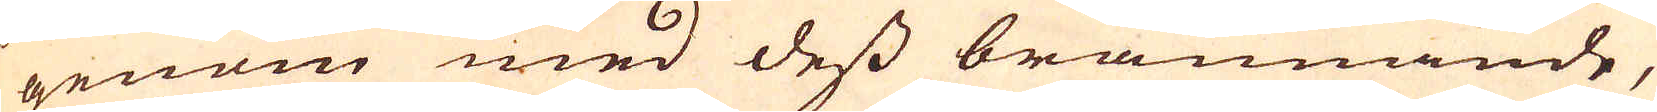genom med dess brännande,
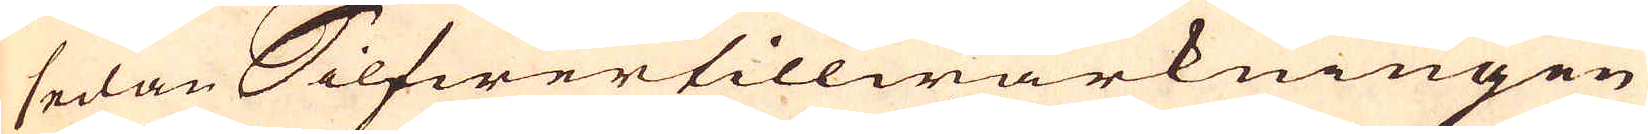sedan Silfwertillwärkningen
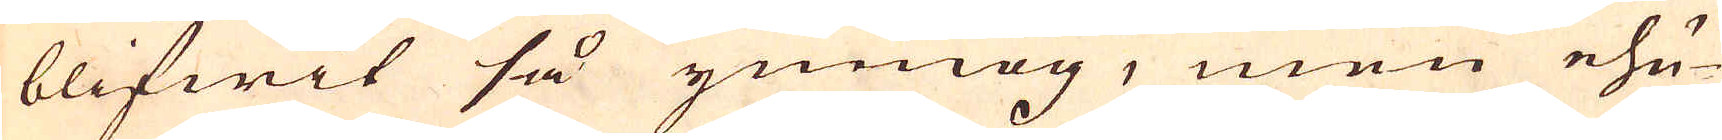blifwit så ymnog, men ehu-
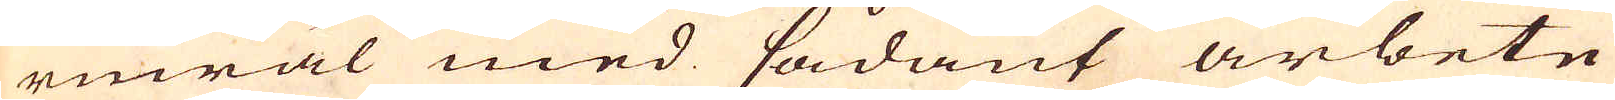ruwäl med sådant arbete
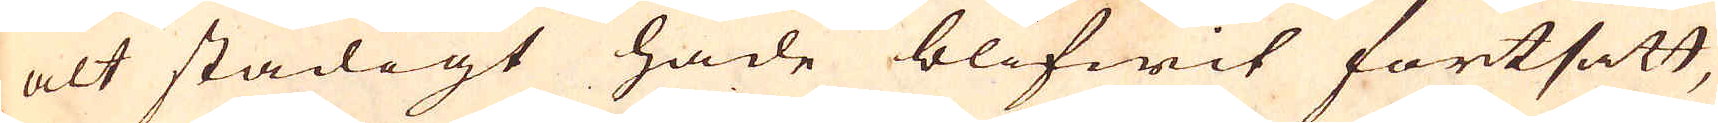alt stadigt hade blifwit fortsatt,
